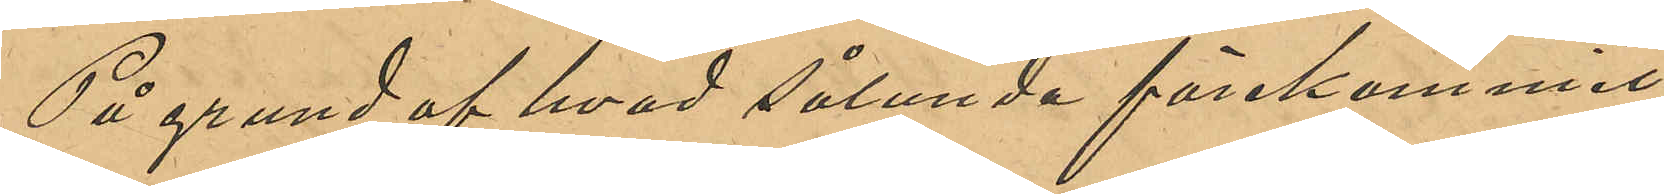På grund af hvad sålunda förekommit,
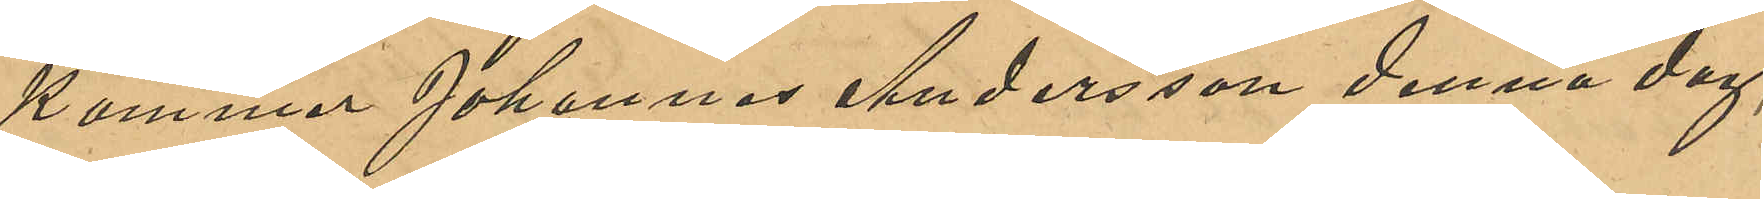kommer Johannes Andersson denna dag,
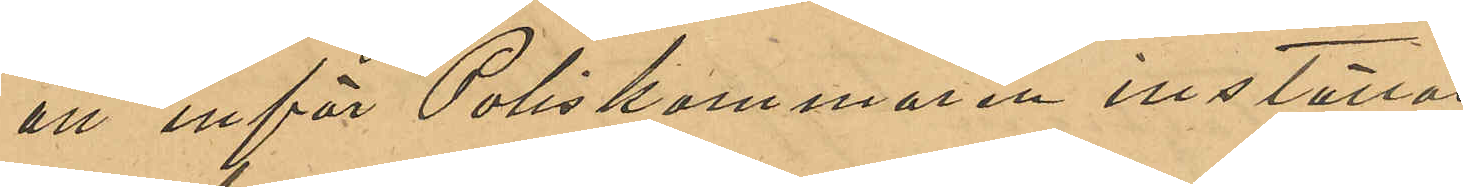att inför Poliskammaren inställas.
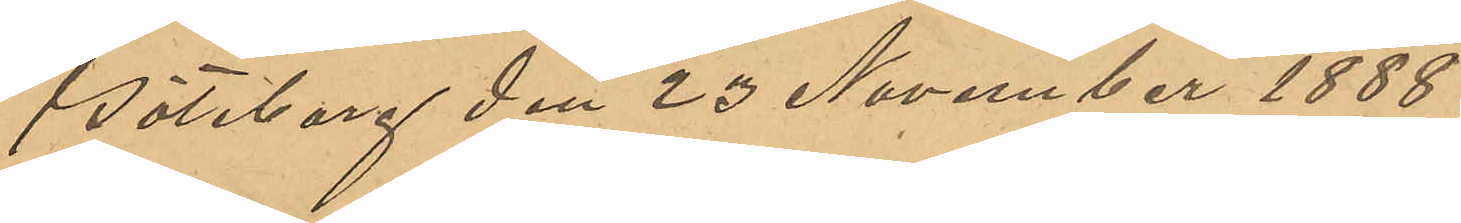Göteborg den 23 November 1888.
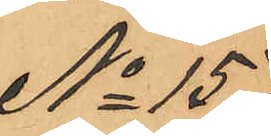No 157
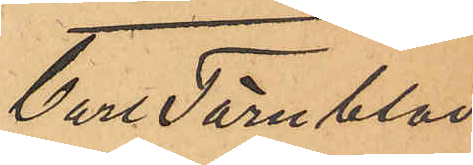Carl Törnblad
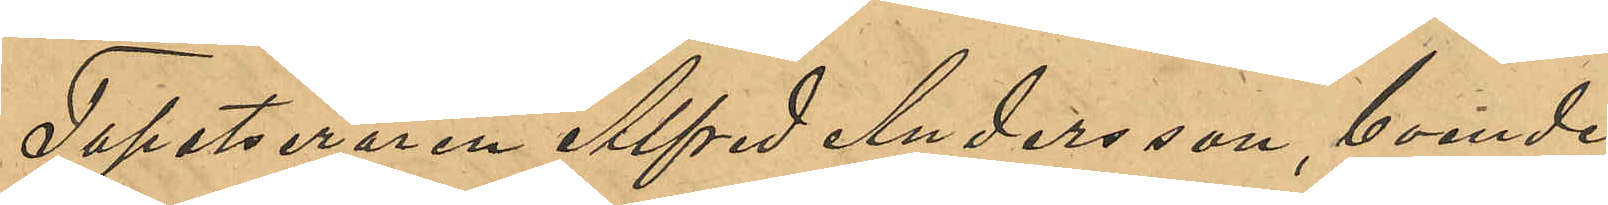Tapetseraren Alfred Andersson, boende 
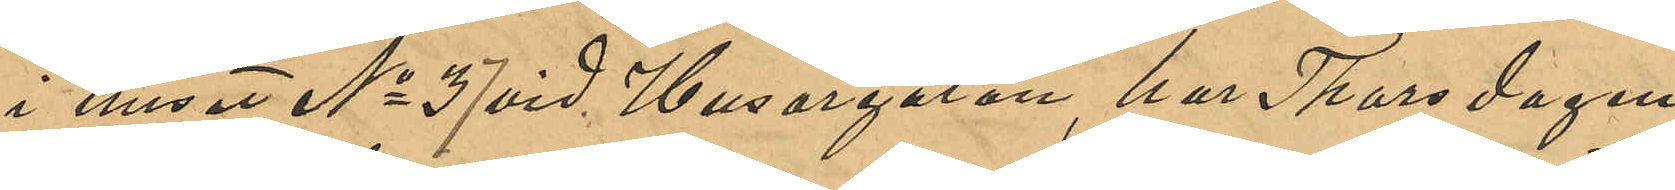i huset No 37 vid Husargatan, har Thorsdagen
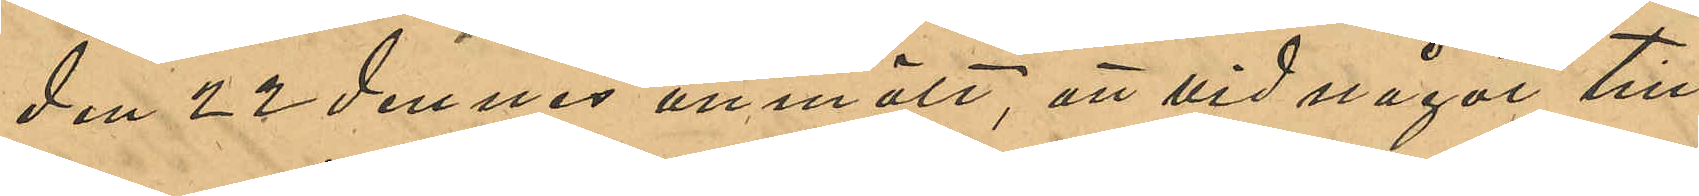den 22 dennes anmält, att vid något till¬
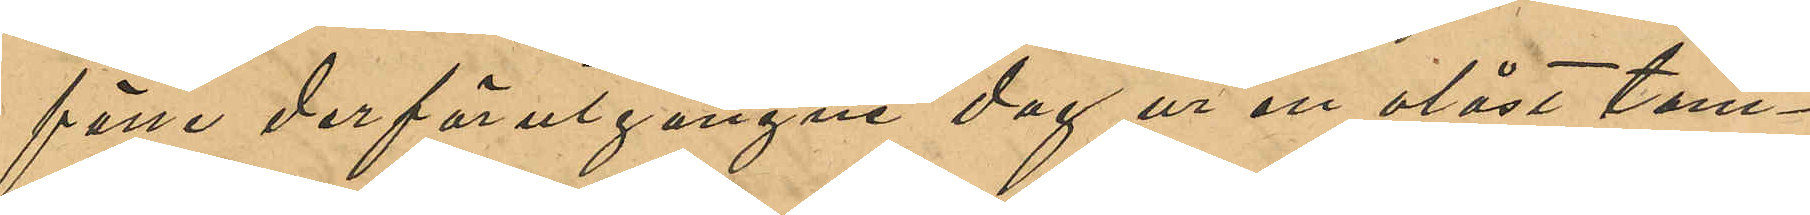fälle derförutgångne dag ur en olåst tam¬
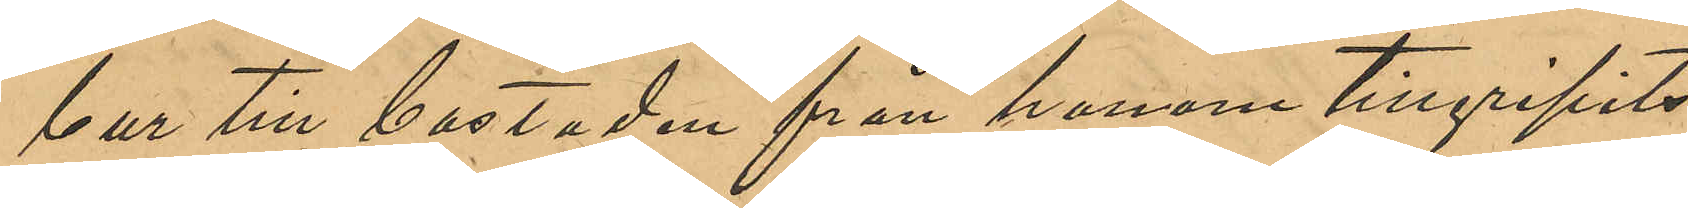bur till bostaden från honom tillgripits
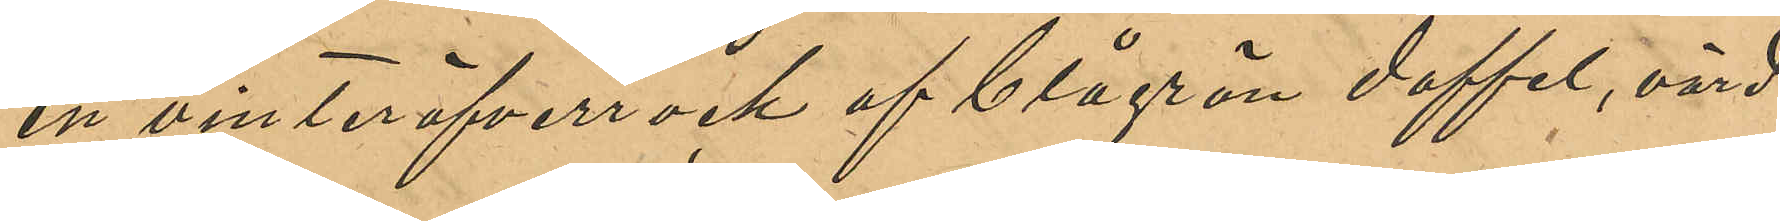en vinteröfverrock af blågrön doffel, värd
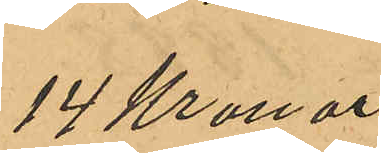14 Kronor.
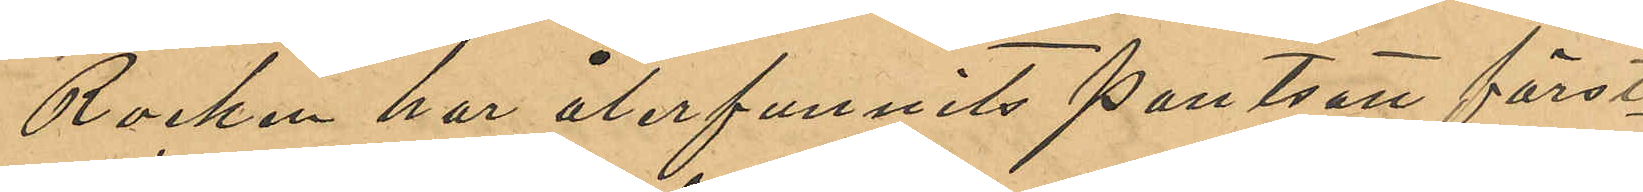Rocken har återfunnits pantsatt först¬
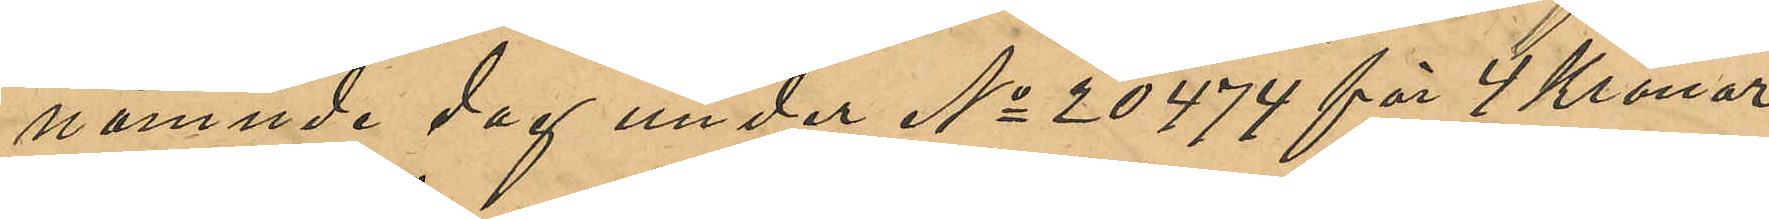nämnde dag under No 20474 för 4 Kronor
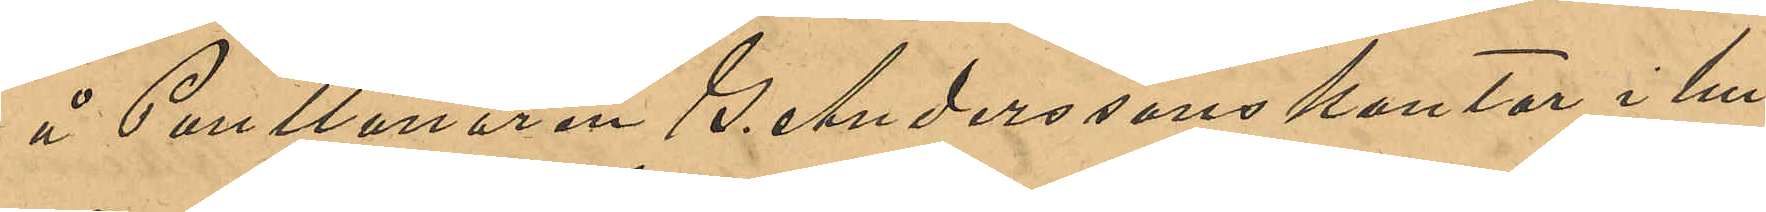å Pantlånaren S. Anderssons kontor i hu¬
